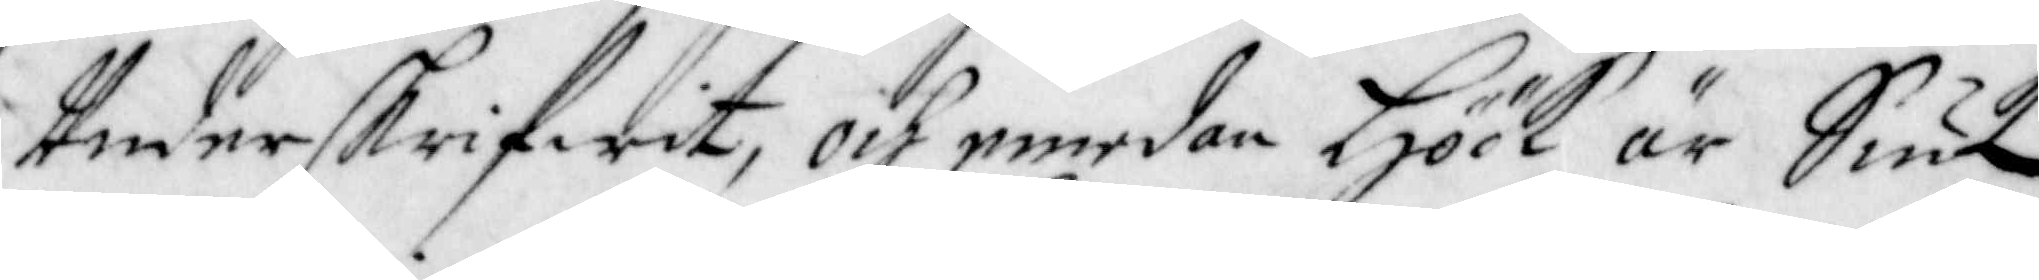Underskrifwit, och emedan Höök är Siuk,
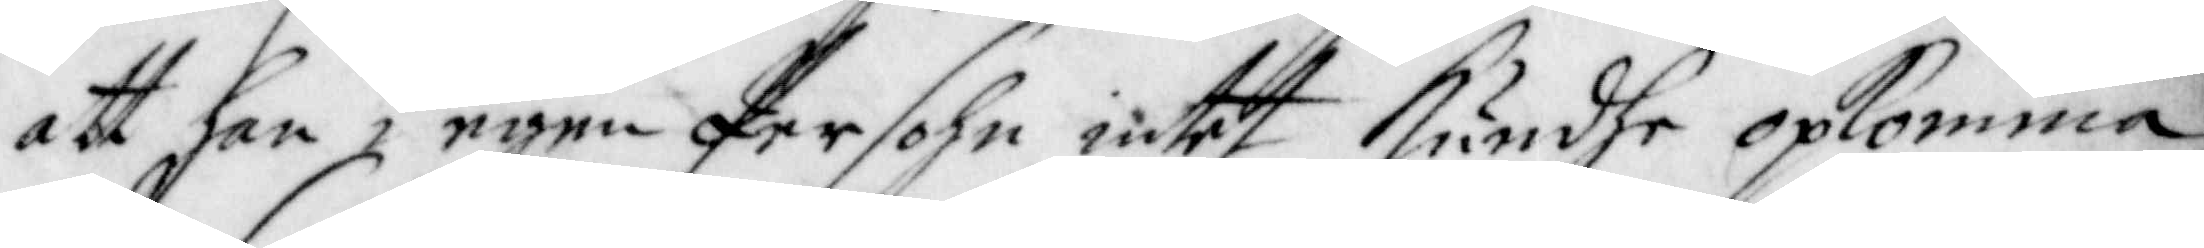att han i egen Persohn intet Kundhe opkomma;
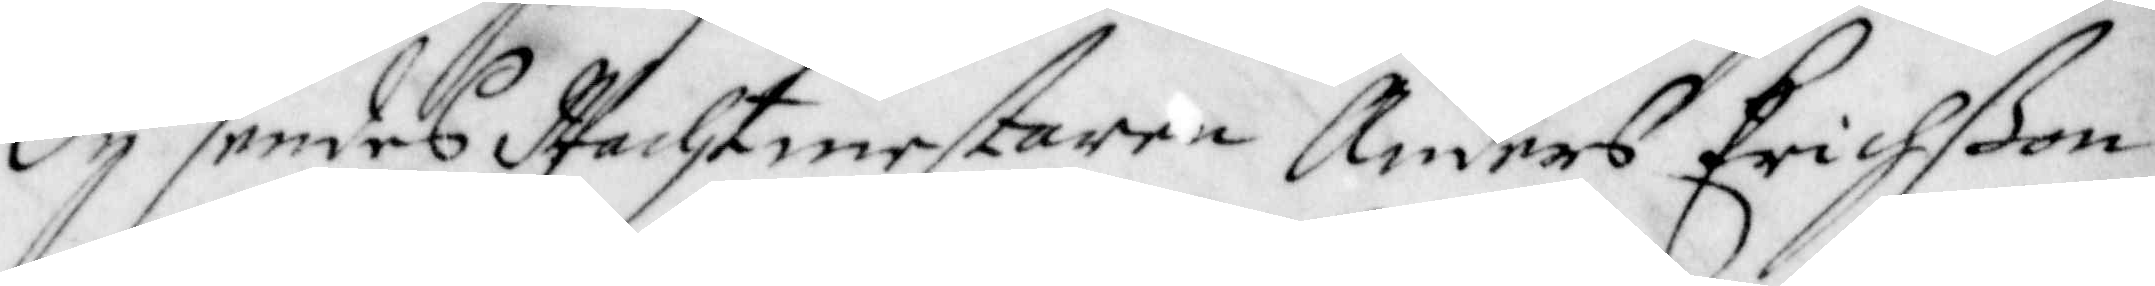Dy sendes Wachtmestaren Anders Erichßon
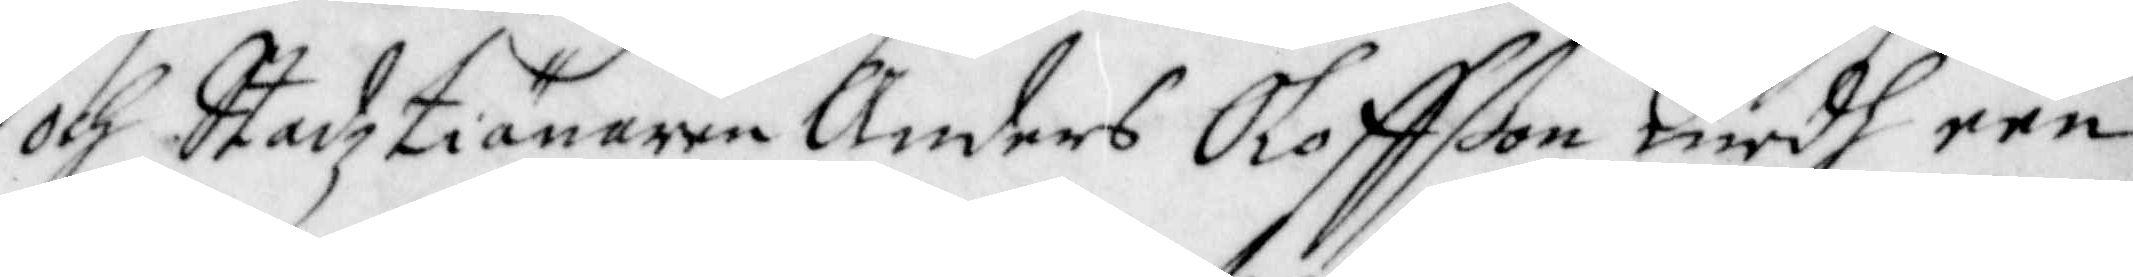och Stadztiänaren Anders Oloffßon medh een
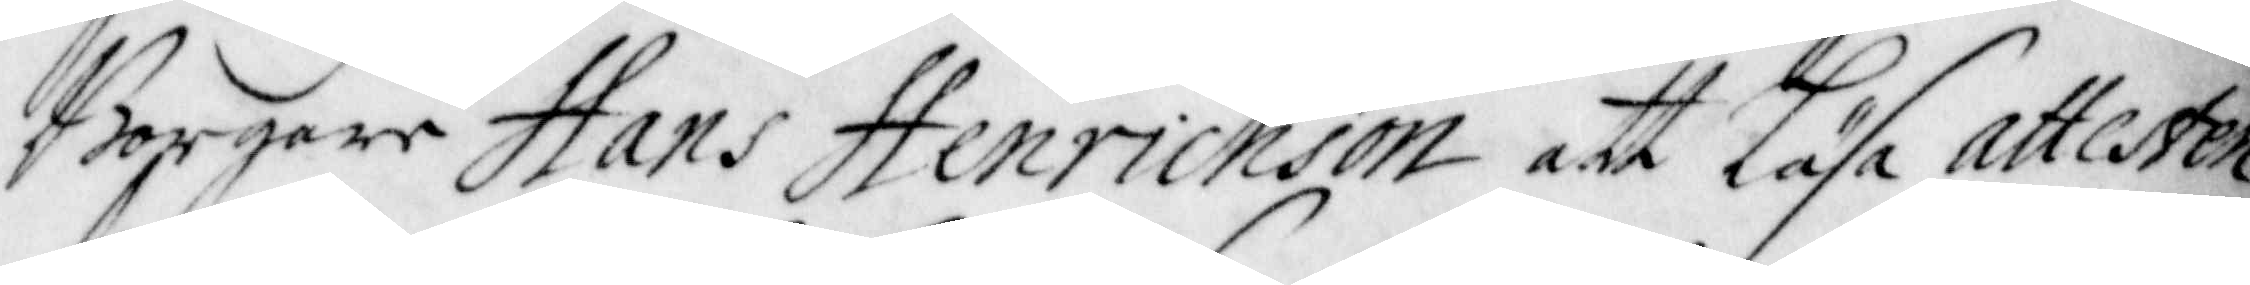Borgare Hans Henrichson att läsa attesten
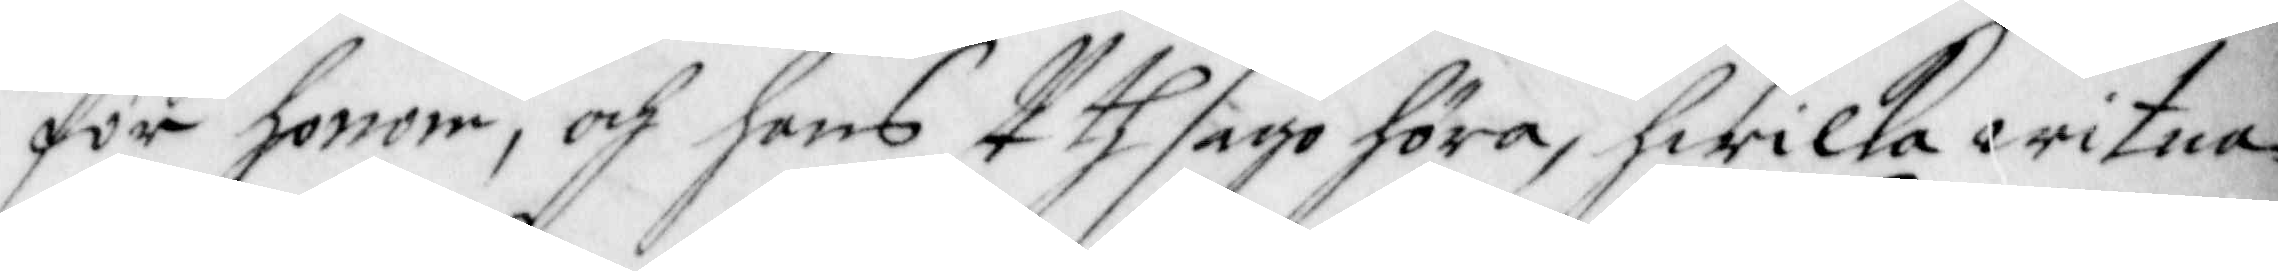för honom, och hans Uthsago höra, hwilka witna¬
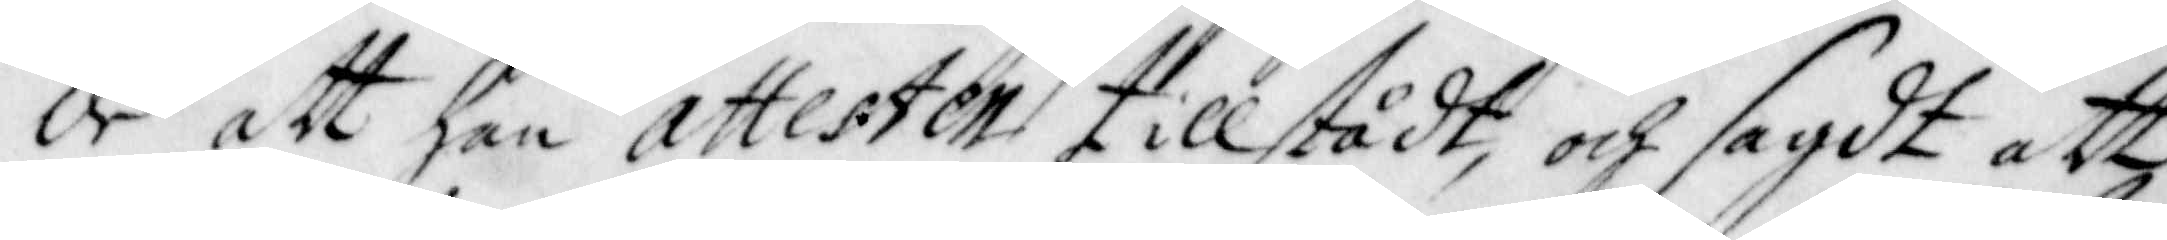de att han attesten tillstådt, och sagdt att
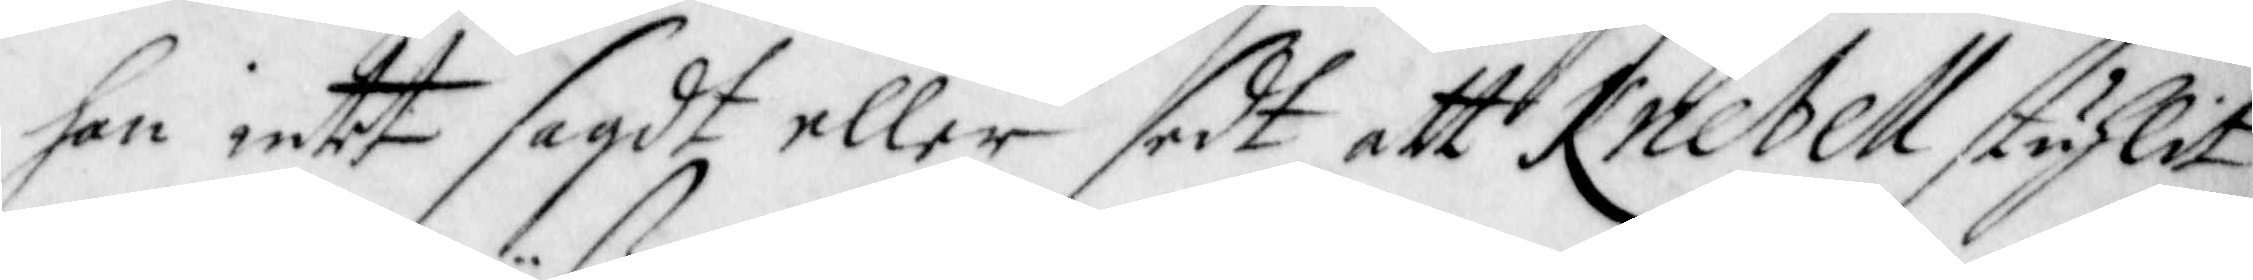han intet sagdt eller sedt att Knebell stuhlit
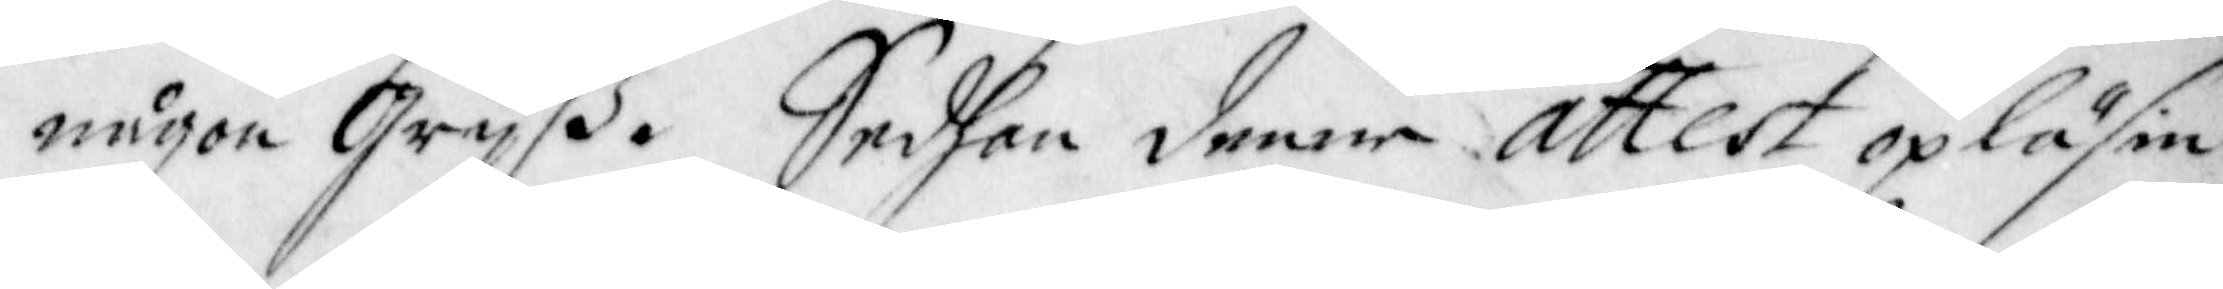någon Grijß. Sedhan denne attest opläsin
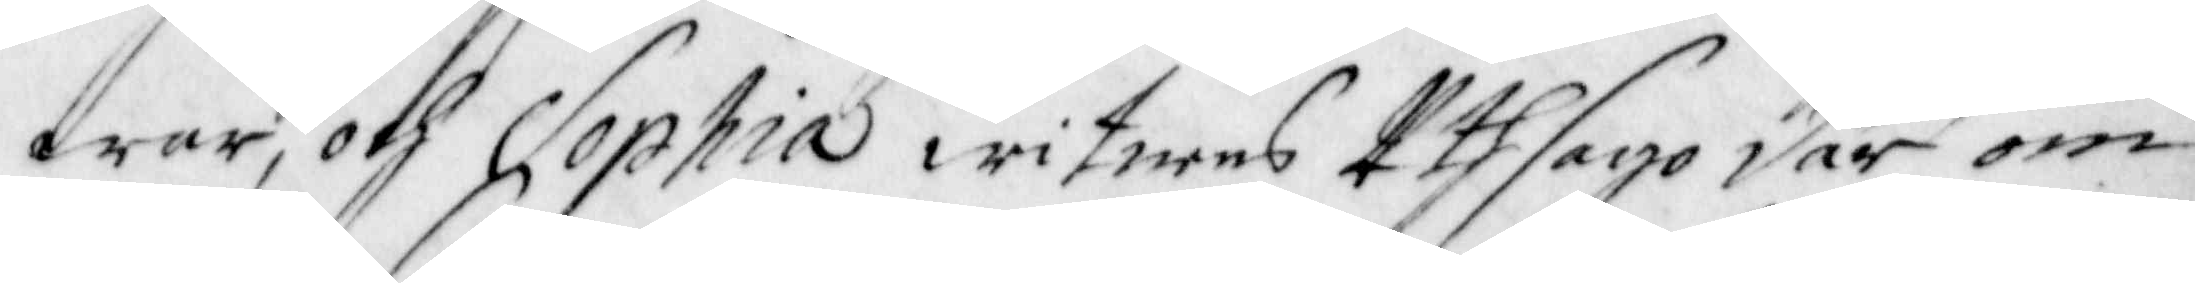war, och Sophia witnens Uthsago där om
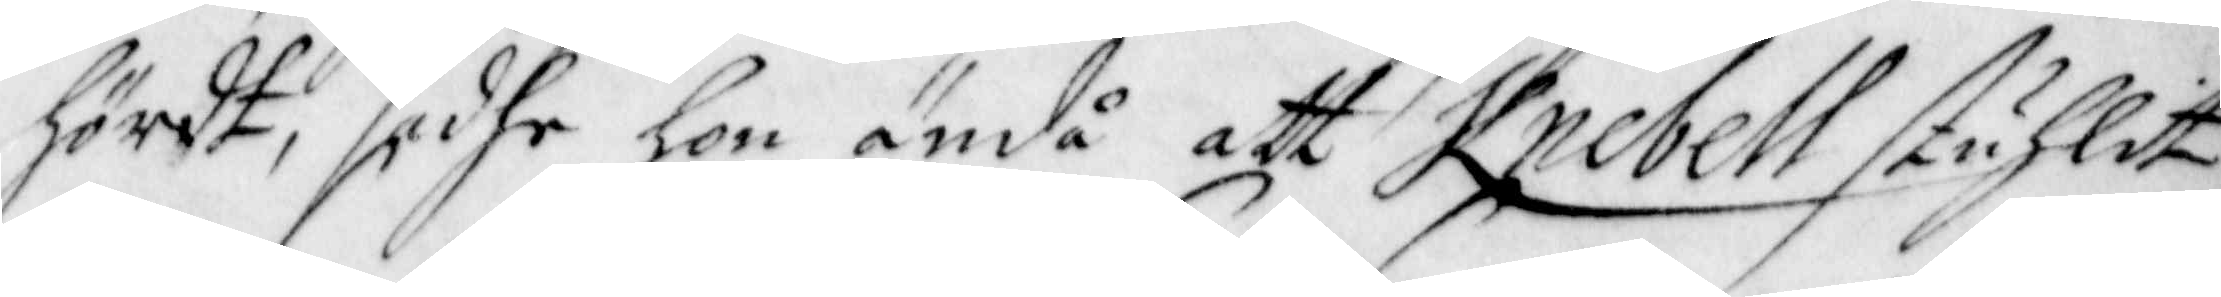hördt, sadhe hon ändå att Knebell stuhlit
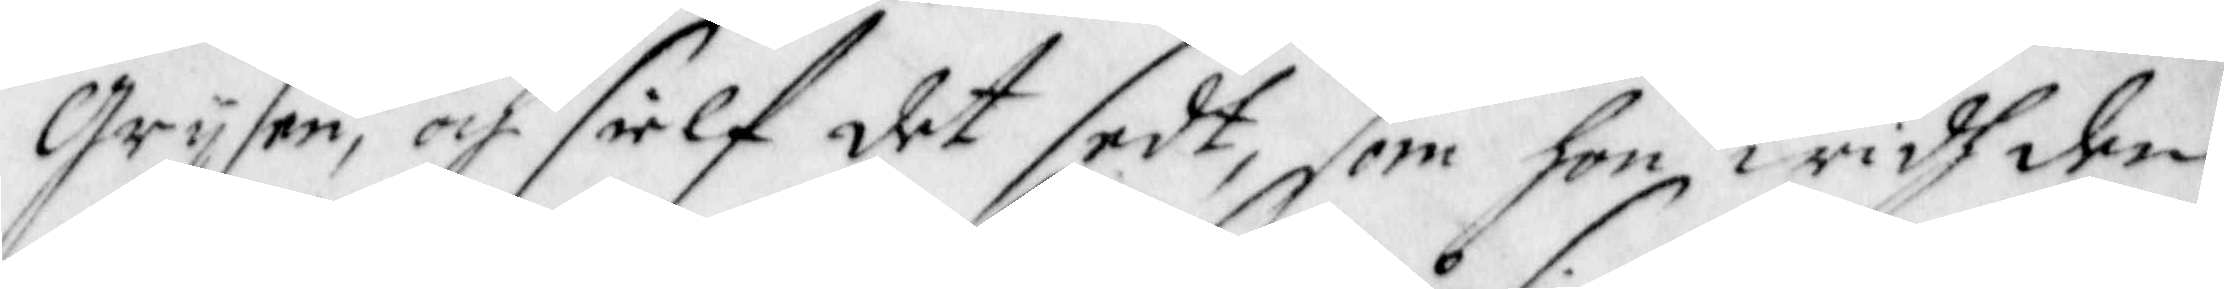Grijsen, och sielf det sedt, som hon widh den
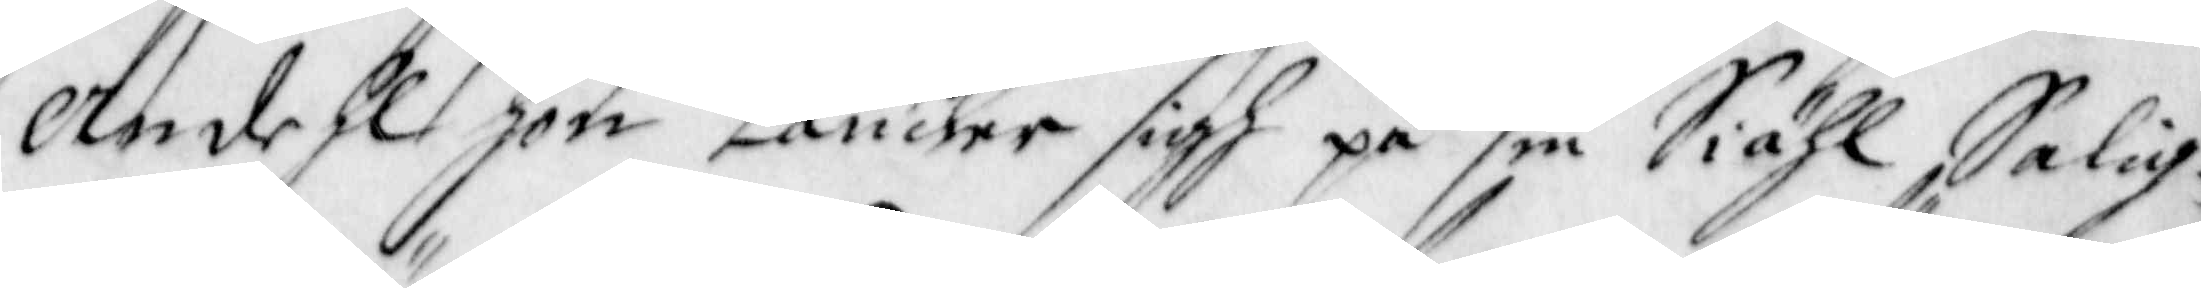Andehl hon täncker sigh på sin Siähl Salig¬
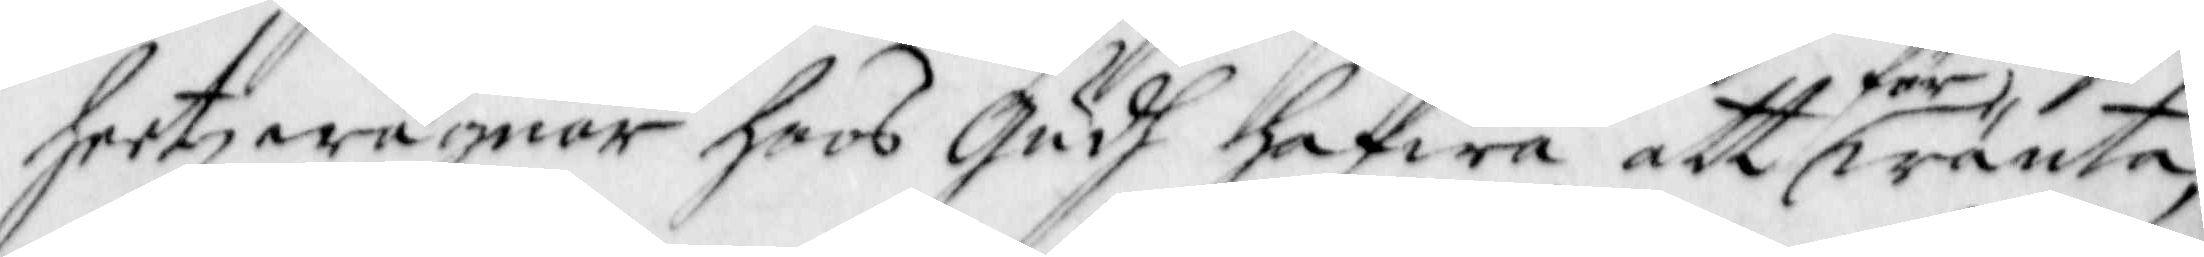heetz wägnar hoos Gudh hafwa att förwänta,
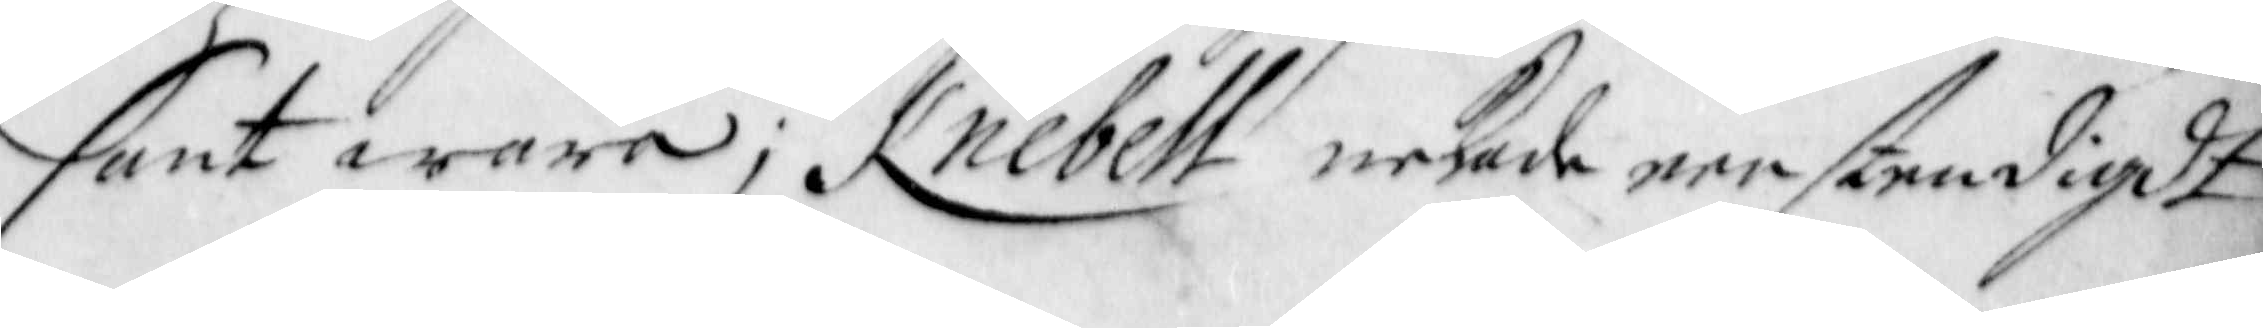sant wara; Knebell nekade eenstendigdt
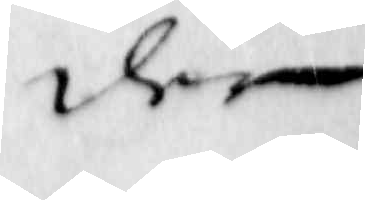der
